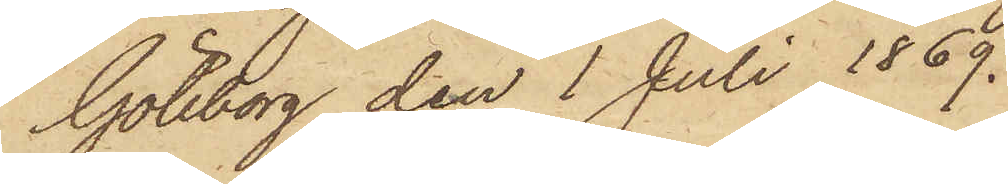Göteborg den 1 Juli 1869.
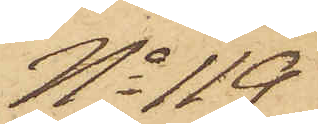No 119
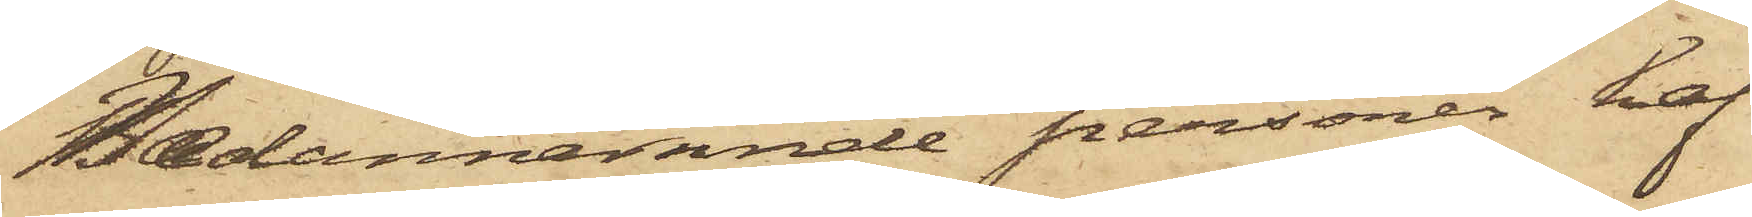Nedannämnde personer haf¬
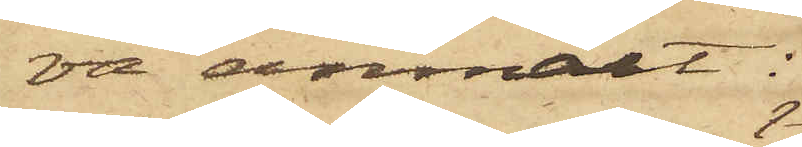va anmält:
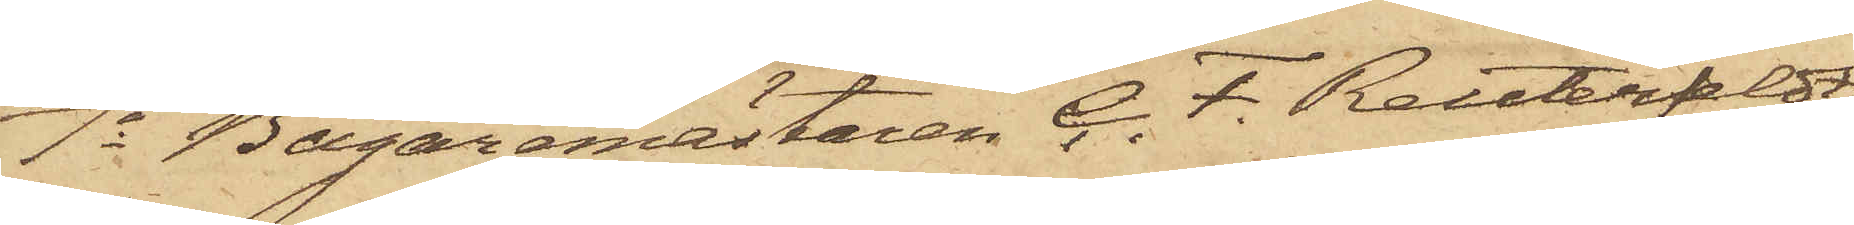1o Bagaremästaren G. F. Reuterfeldt,
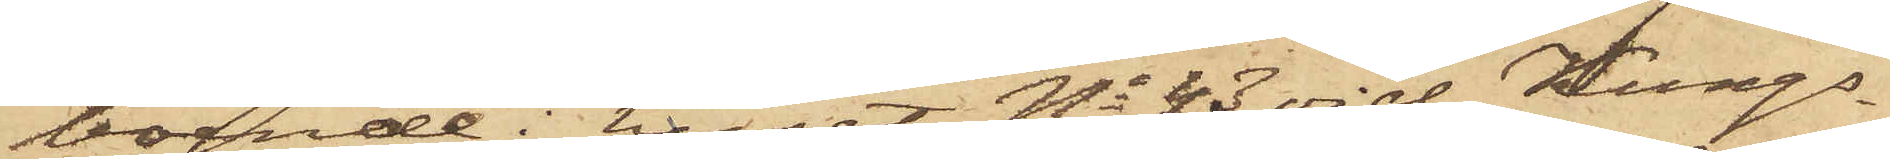boende i huset No 43 vid Kungs¬
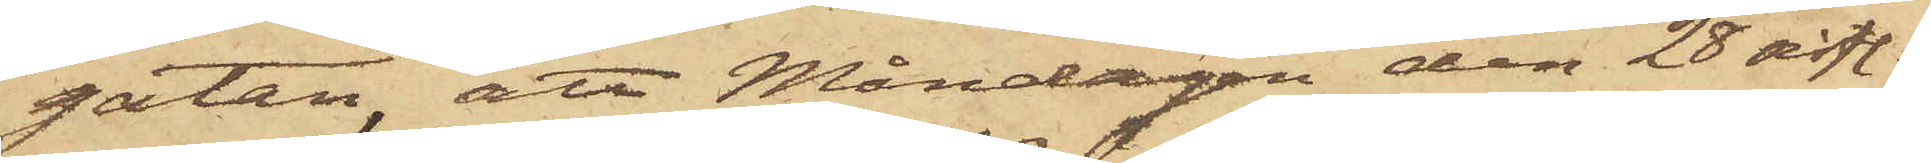gatan, att Måndagen den 28 sistl.
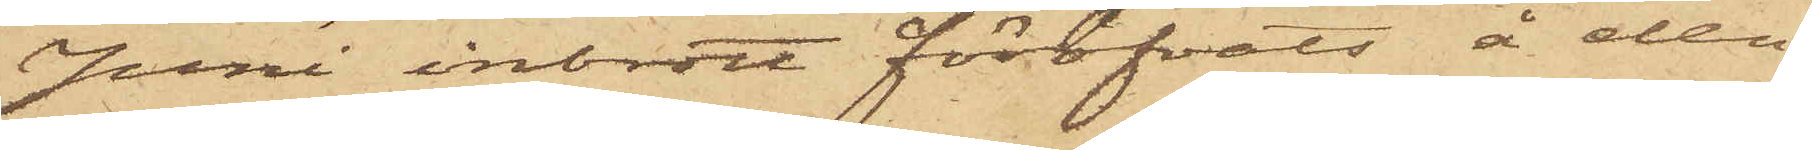Juni inbrott föröfvats å den
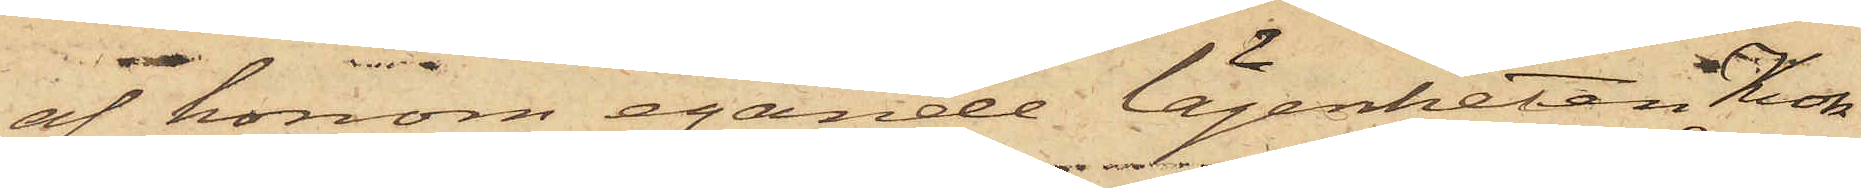af honom egande lägenheten Krok¬
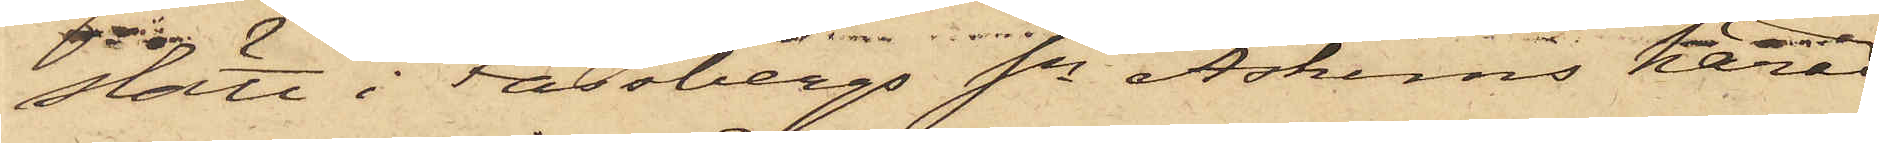slätt i Fässbergs Sn Askims härad,
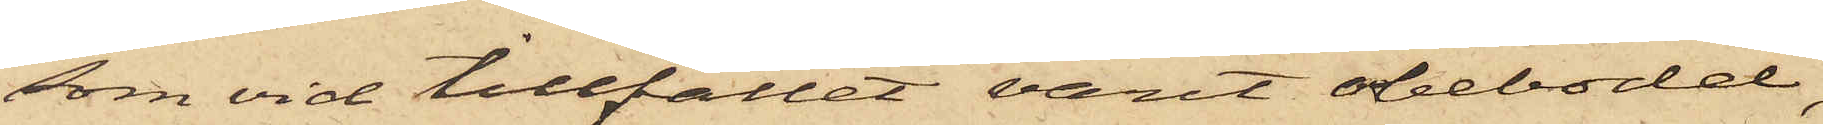som vid tillfället varit obebodd,
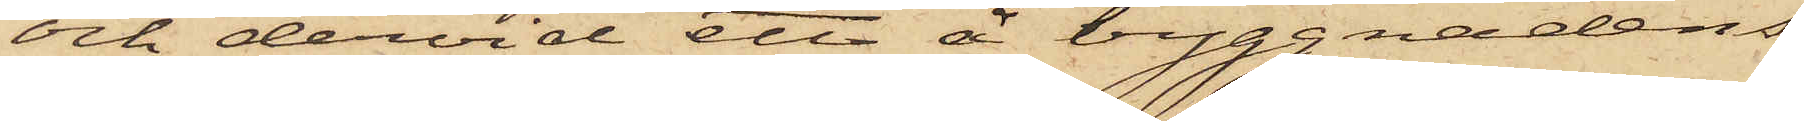och dervid ett å byggnadens
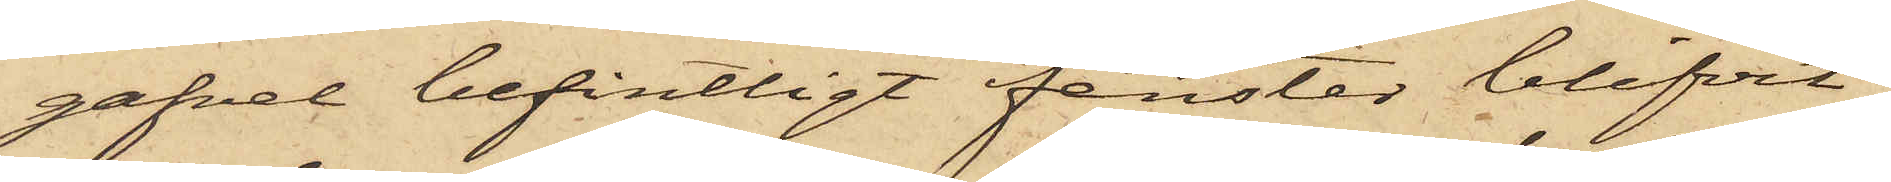gafvel befintligt fenster blifvit
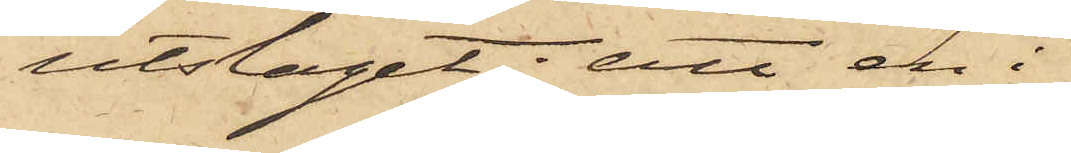utslaget; att en i
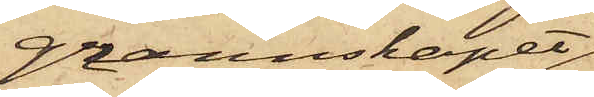grannskapet
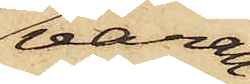varan¬
